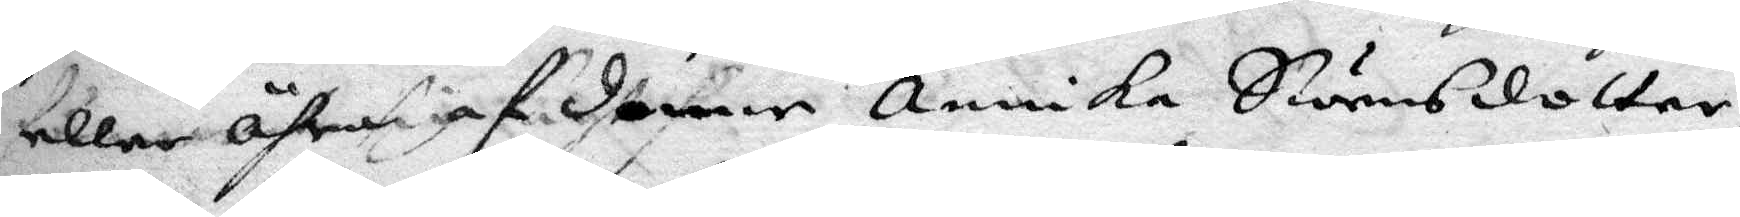eller ähra af denne Annika Swensdotter,
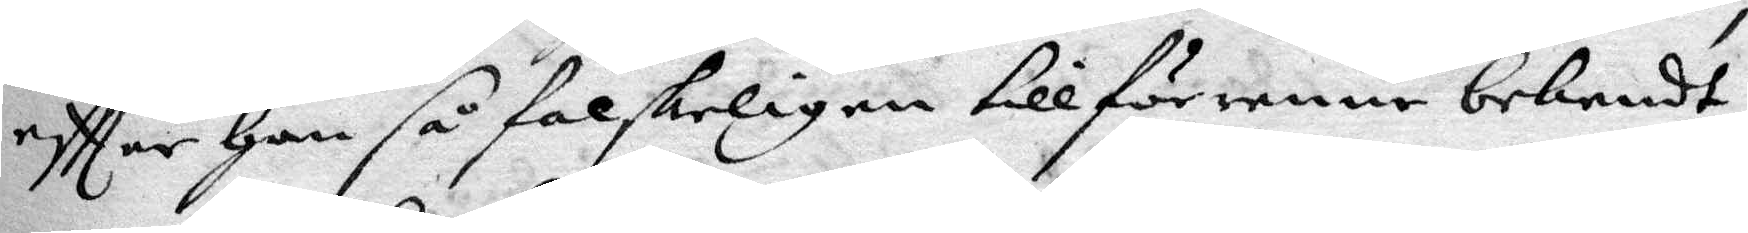eftter Han så falskeligen tillförene bekendt
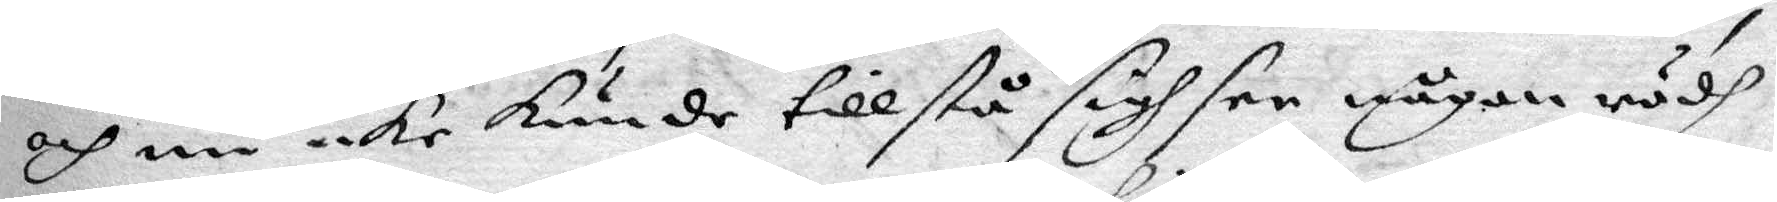och nu icke kunde tillstå sigh see någon rödh
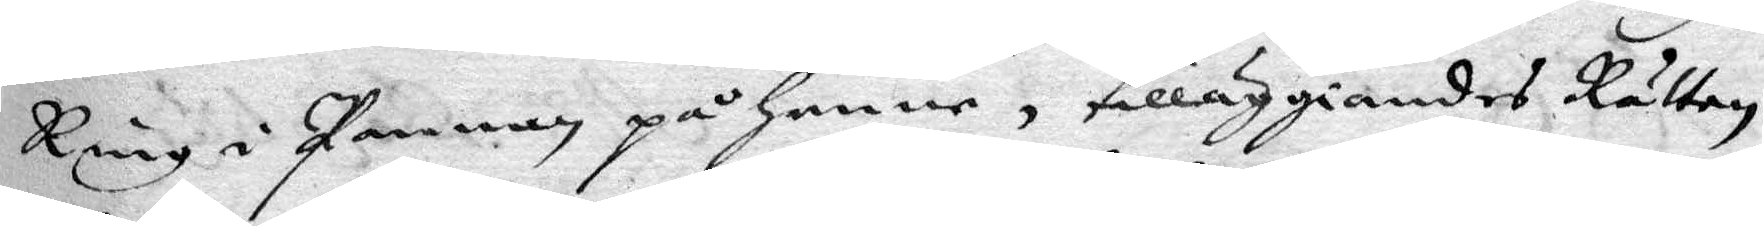Ring i Pannan på henne, tilläggiandes Rätten
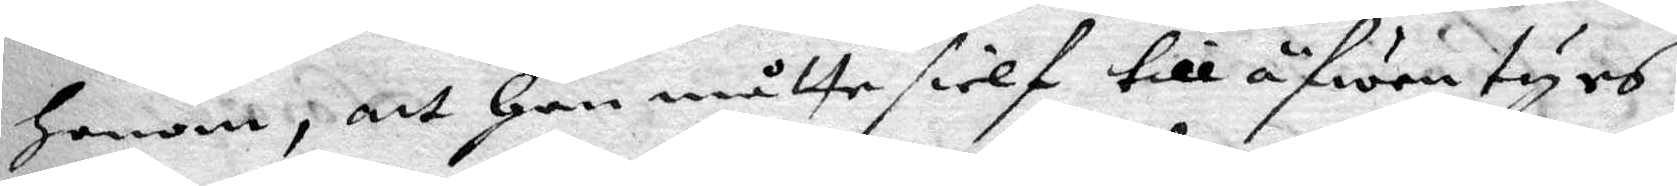Honom, att Han måtte sielf till äfwentyrs
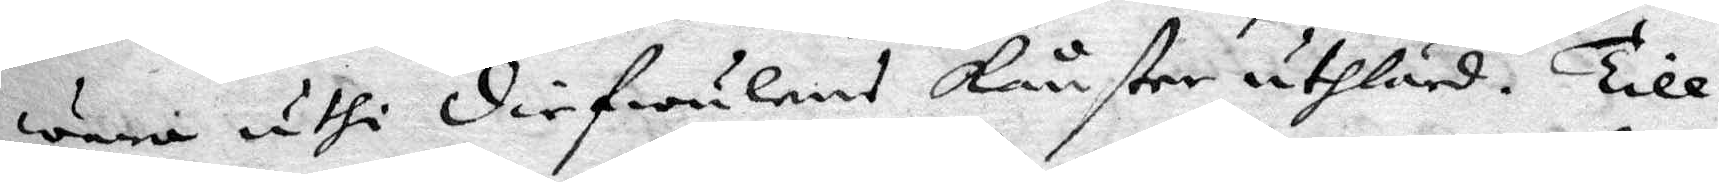wara uthi diefwulens konster uthlärd. Till
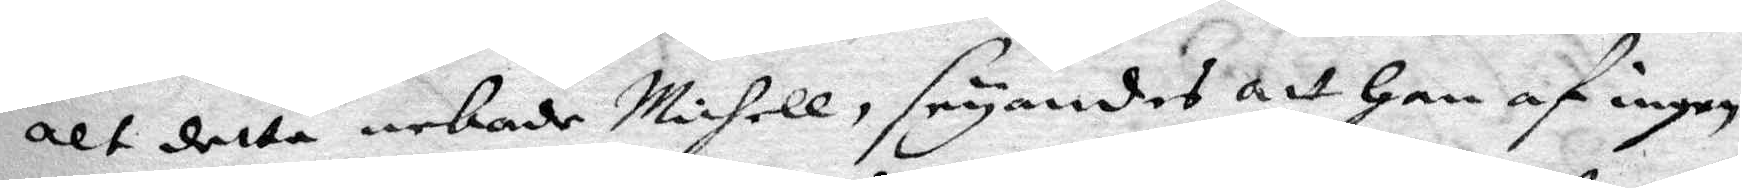alt detta nekade Michell, seyandes att Han af ingen
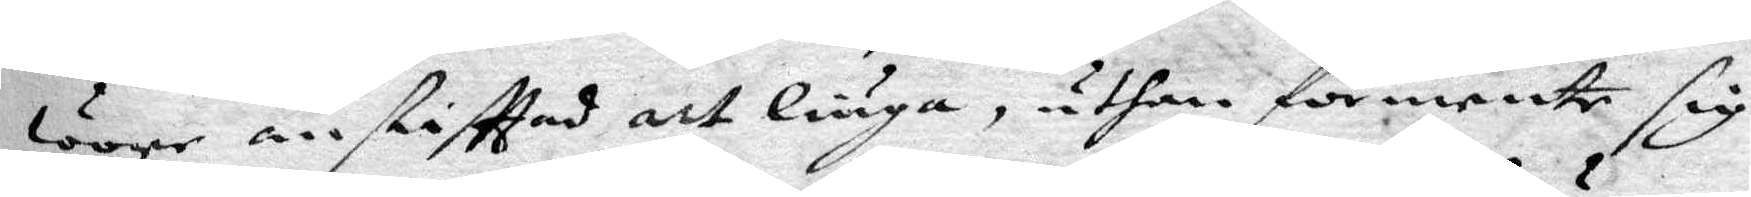wore anstifttad att liuga, uthan förmente sig
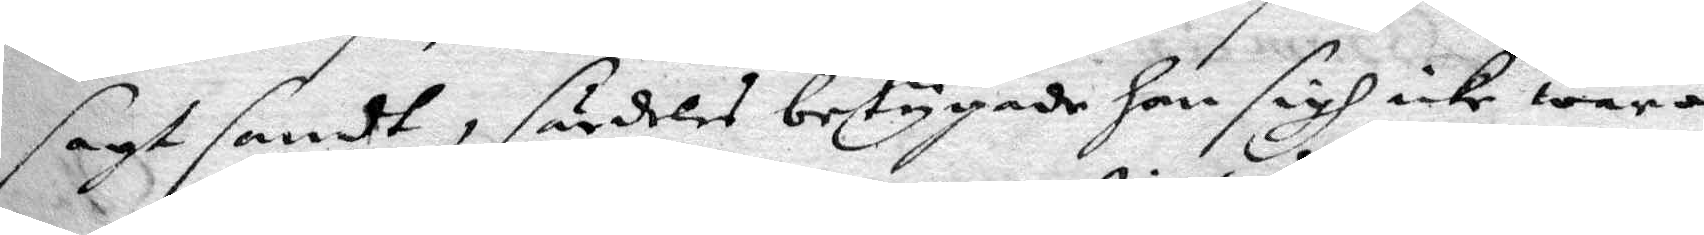sagt sandt, särdeles betygade han sigh icke wara
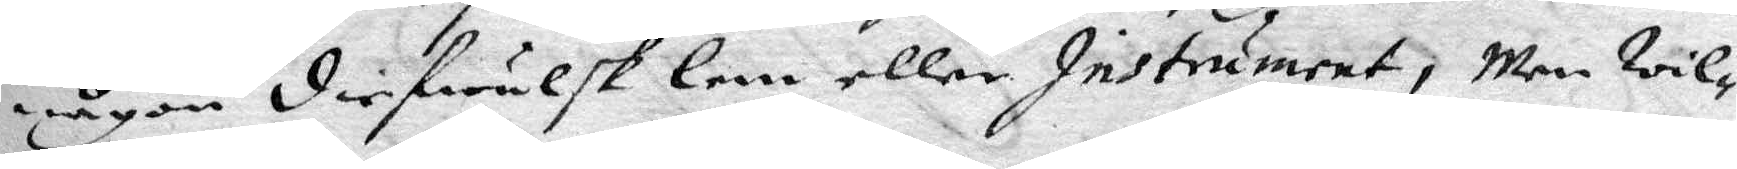någon diefwulsk lem eller Instrument; Men wil¬
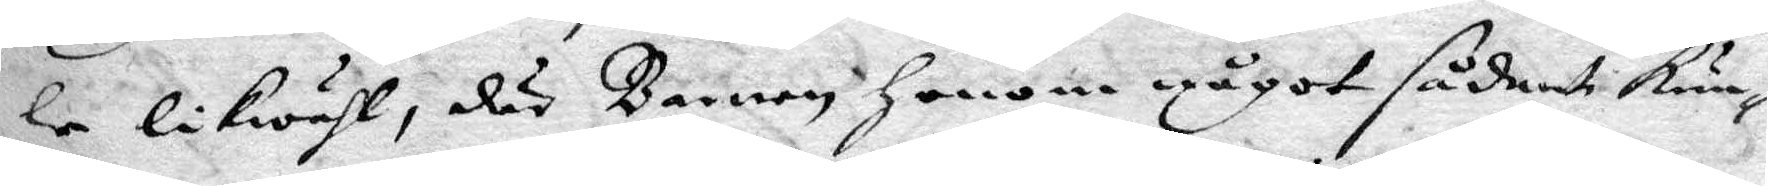le likwähl, där Barnen Honom något sådant kun¬
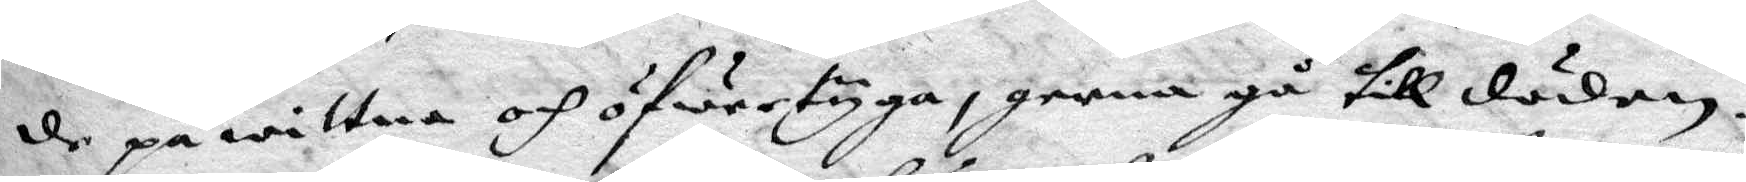de på wittna och öfwertyga, gerna gå till döden.
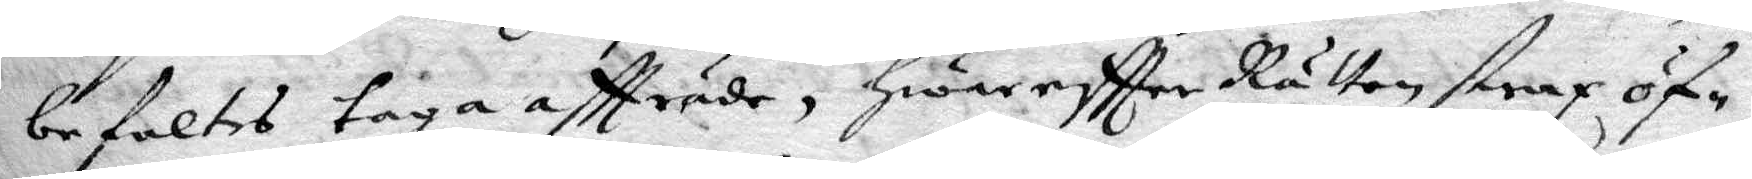befaltes taga affträde, Hwareftter Rätten strax öf¬
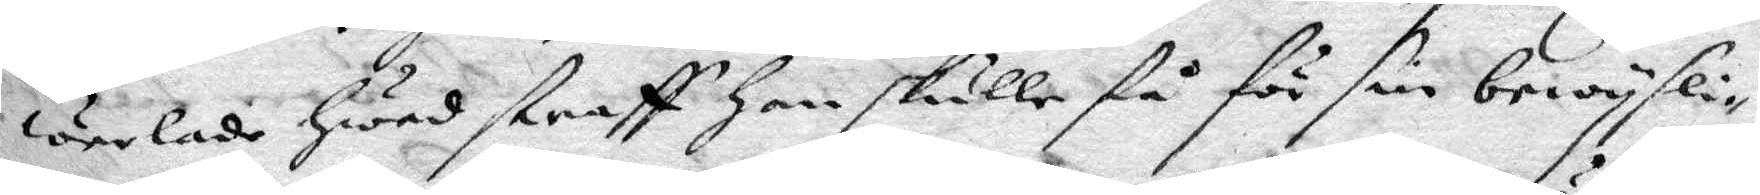werlade hwad straff Han skulle få för sin bewysli¬
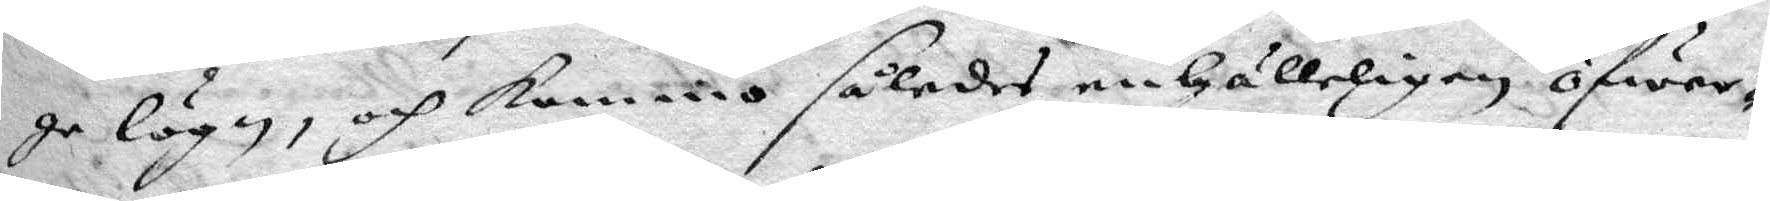ge lögn, och kommo således enhälleligen öfwer¬
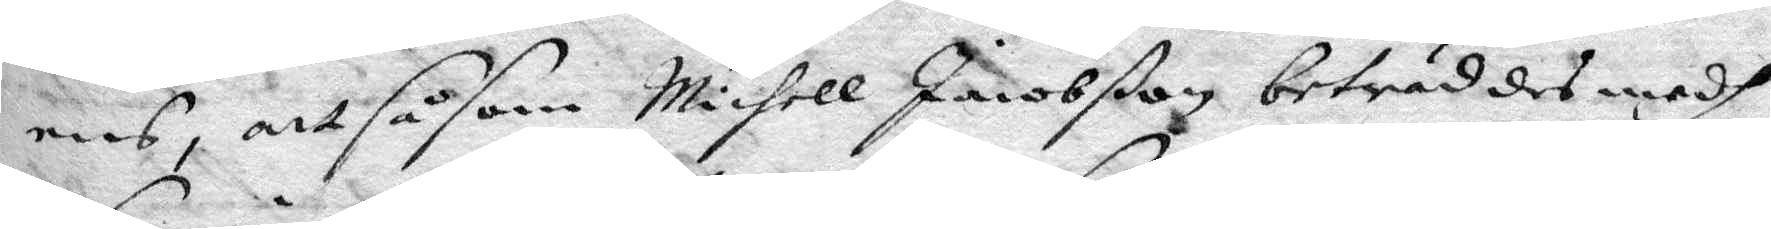ens, att såsom Michell Jacobßon beträddes medh
